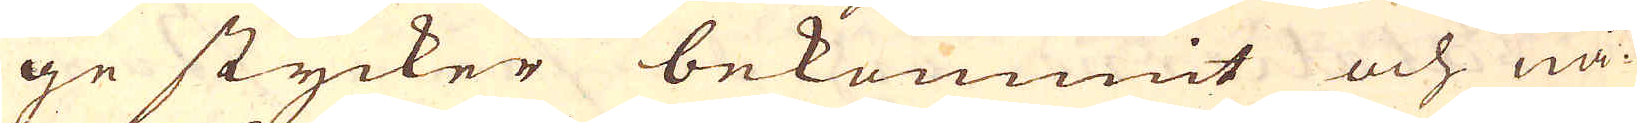ge stycker bekommit och nå-
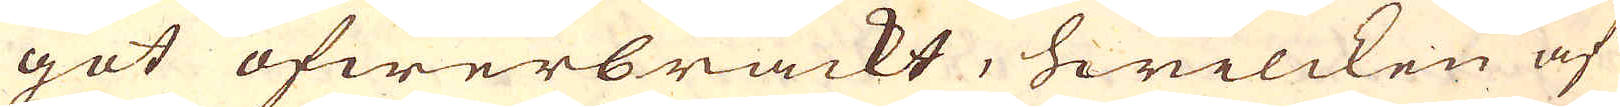got öfwerbrackt, hwilcken af
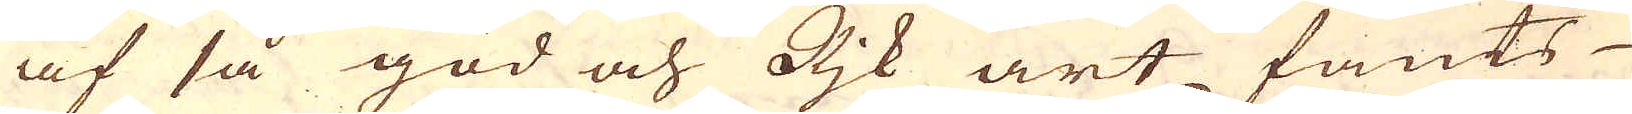af så god och Rjk art fants
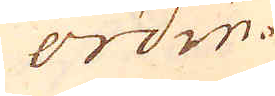ordin-
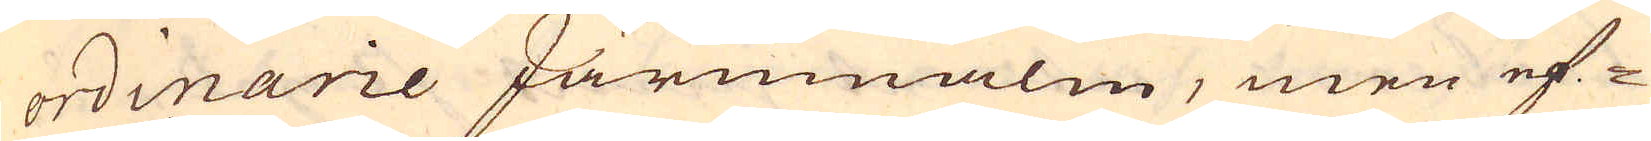ordinarie Järnmalm, men ef-
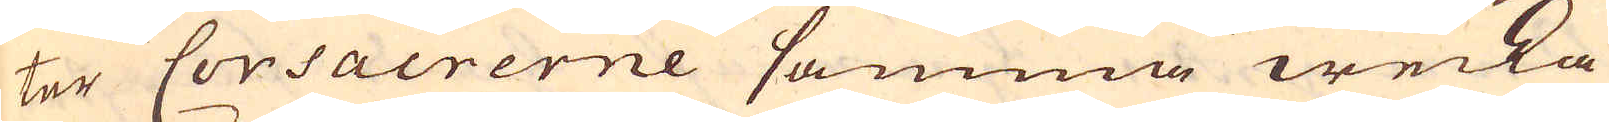ter Corsacrerne samma wecka
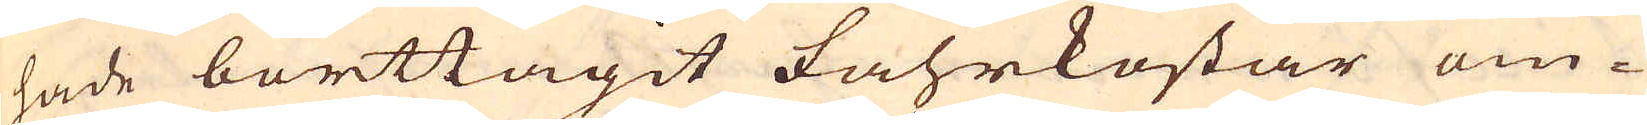hade borttagit fahrkostar om-
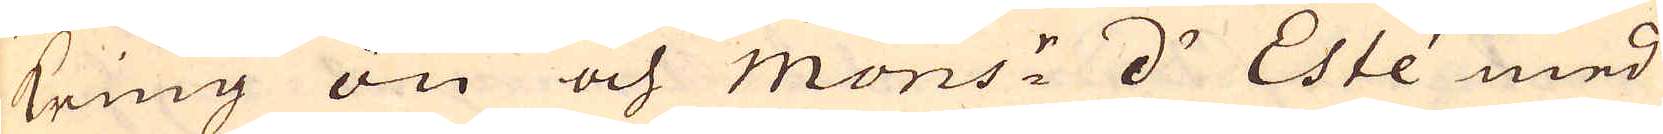kring ön och Mons:r d' Este med
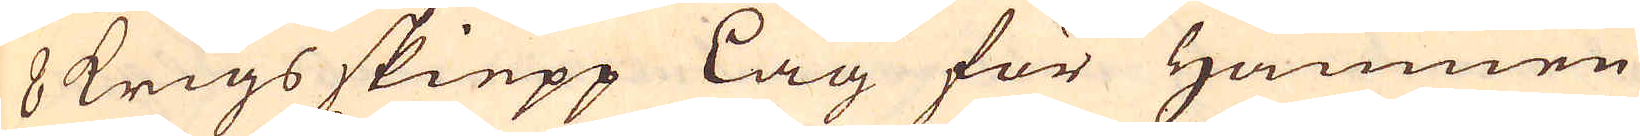8 krigs skiepp låg för Hamnen
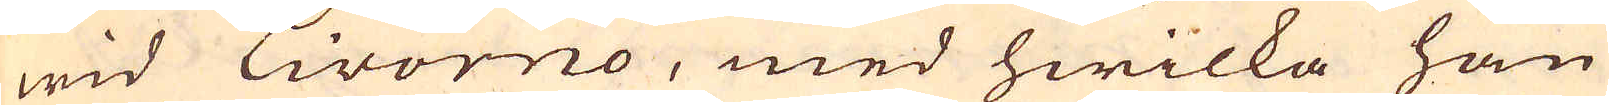wid Livorno, med hwilka han
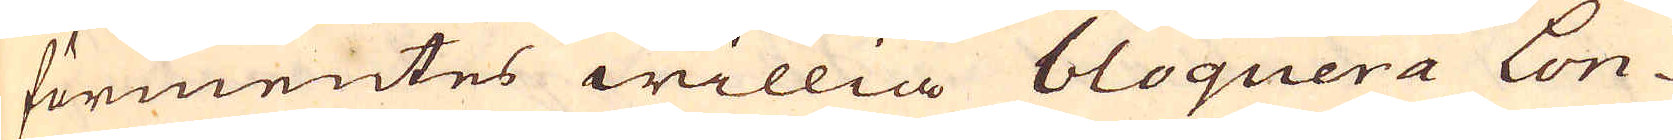förmentes willia bloquera Lon-
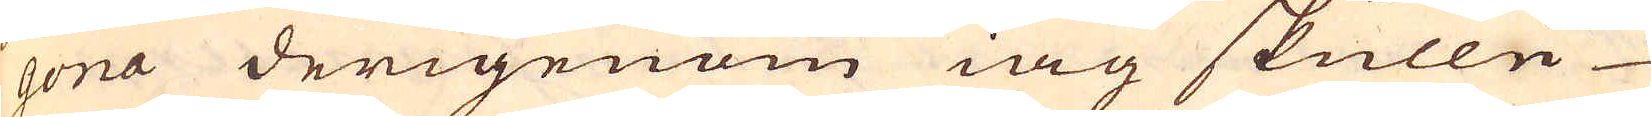gona derigenom iag skulle
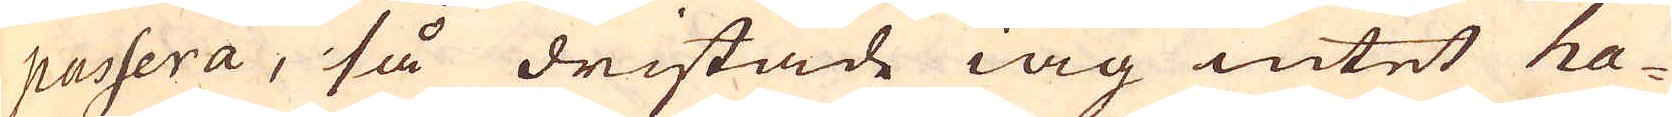passera, så dristade iag intet ha-
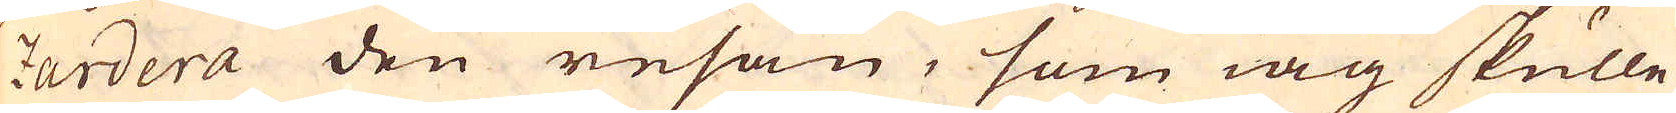zardera den resan, som iag skulle
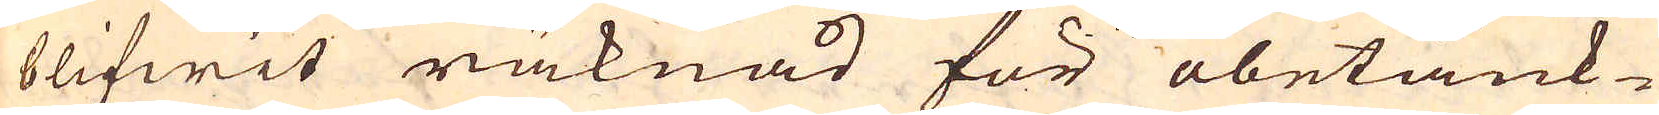blifwit räknad för obetank-
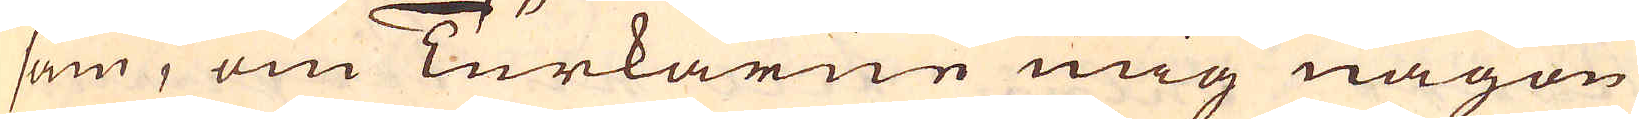sam, om Turkarne mig någon
